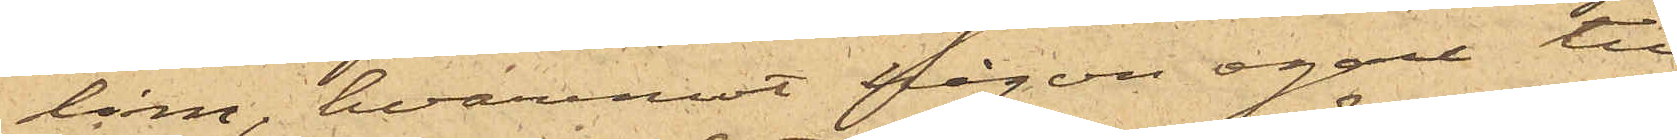lim, hvaremot någon egare till
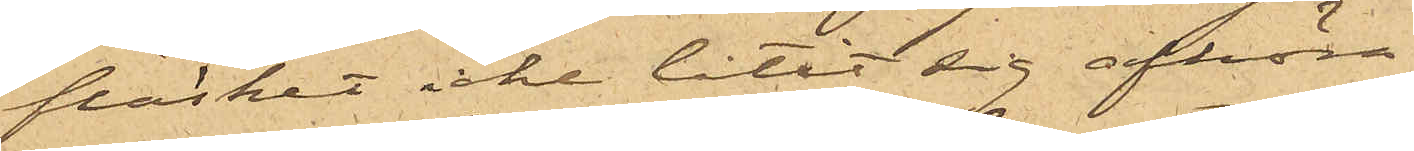fläsket icke låtit sig afhöra.
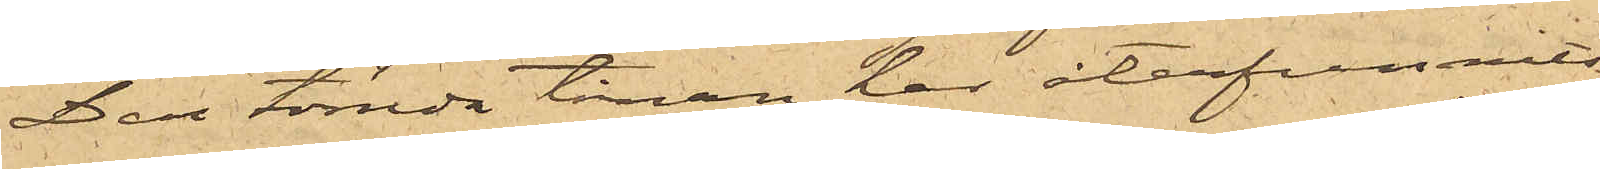Den tömda tinan har återfunnits
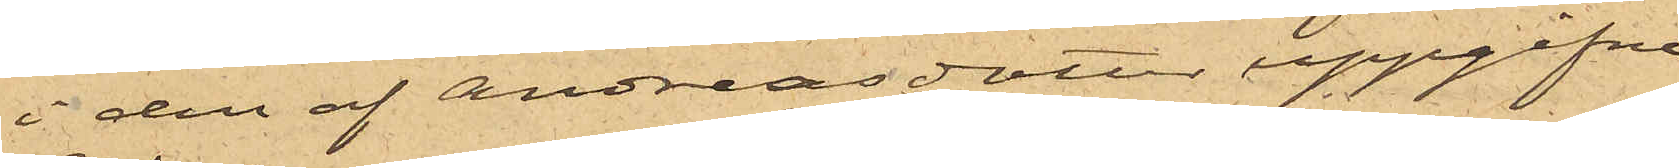i den af Andreasdotter uppgifne
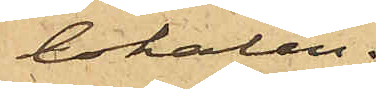lokalen.
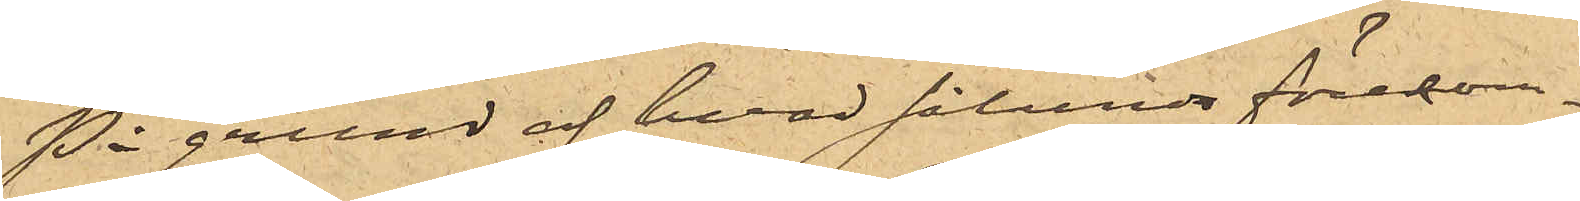På grund af hvad sålunda förekom¬
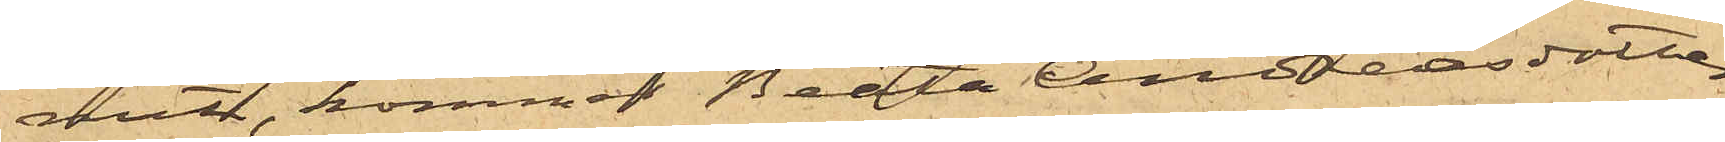mit, kommer Beata Andreasdotter,
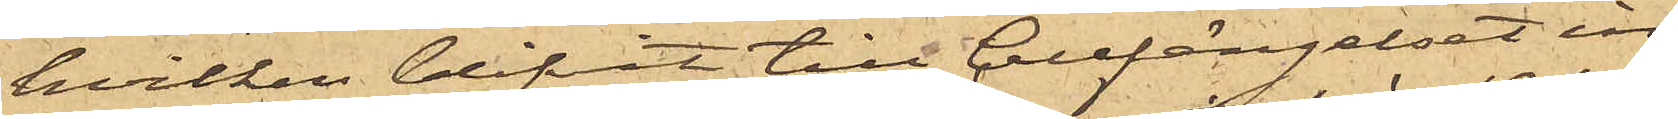hvilken blifvit till Cellfängelset in¬
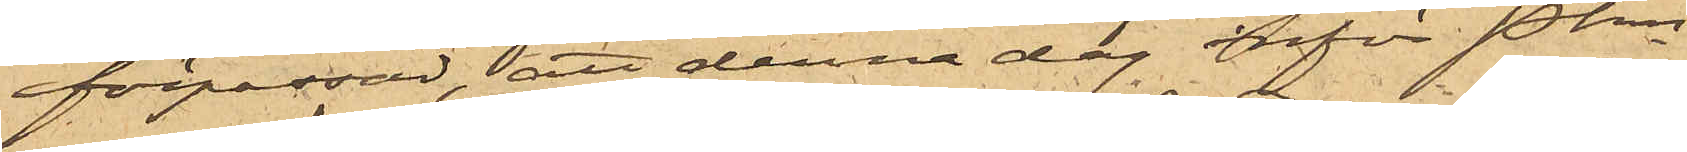förpassad, att denna dag inför Pkn
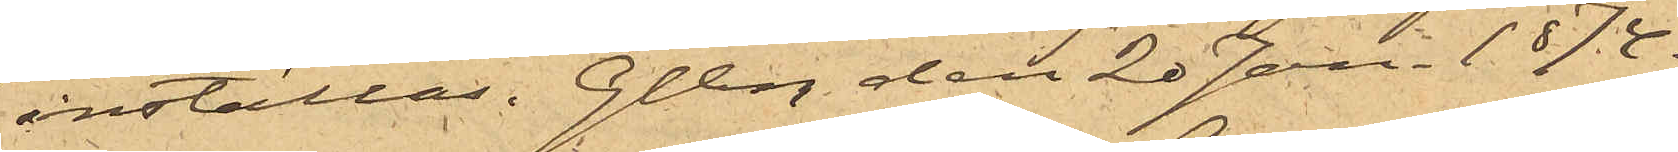inställas. Gtbg den 20 Jan. 1874.
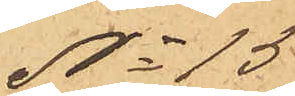No 15
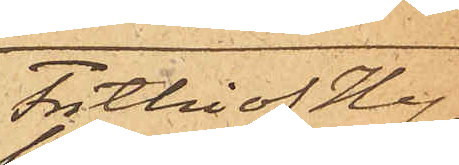Frithiof Hy¬
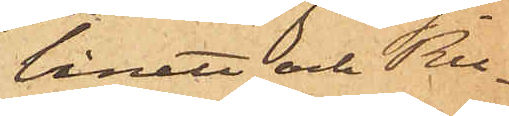binett och Ru¬
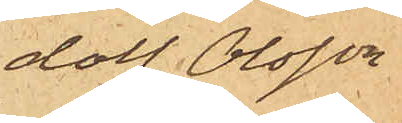dolf Olsson
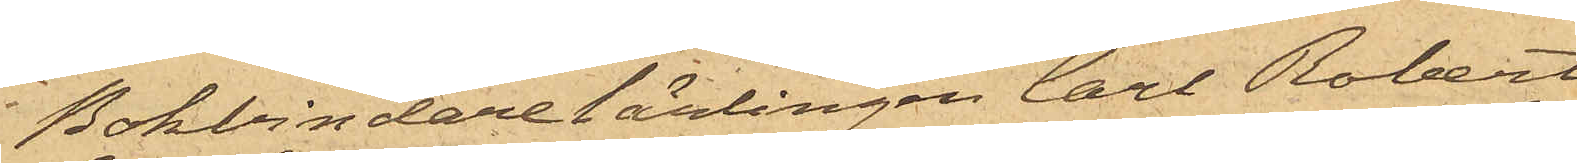Bokbindarelärlingen Carl Robert
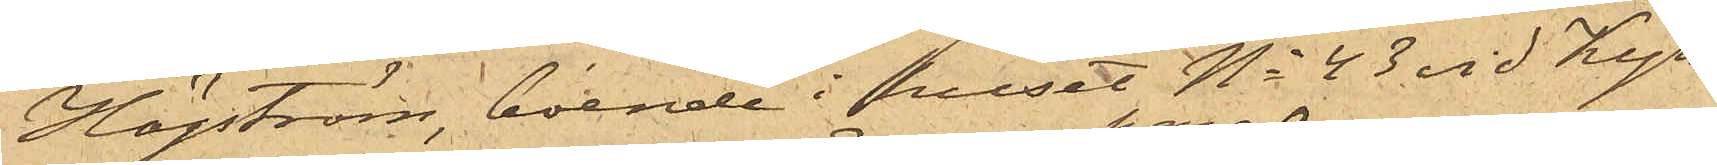Högström, boende i huset No 43 vid Kyrko¬
